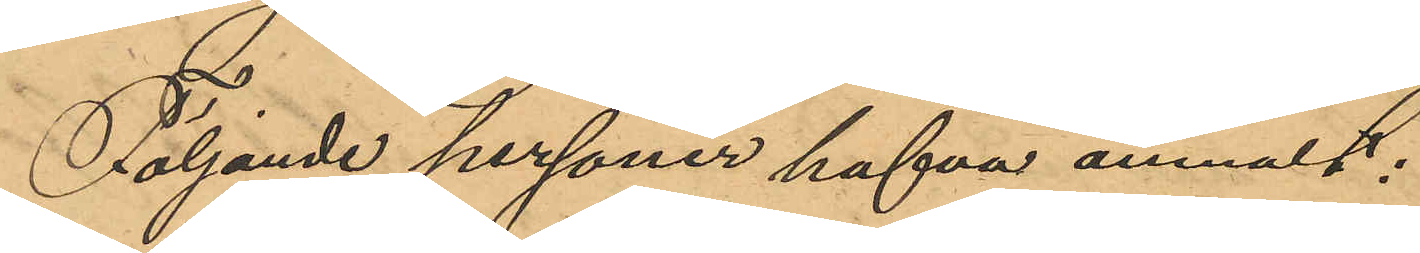Följande personer hafva anmält:
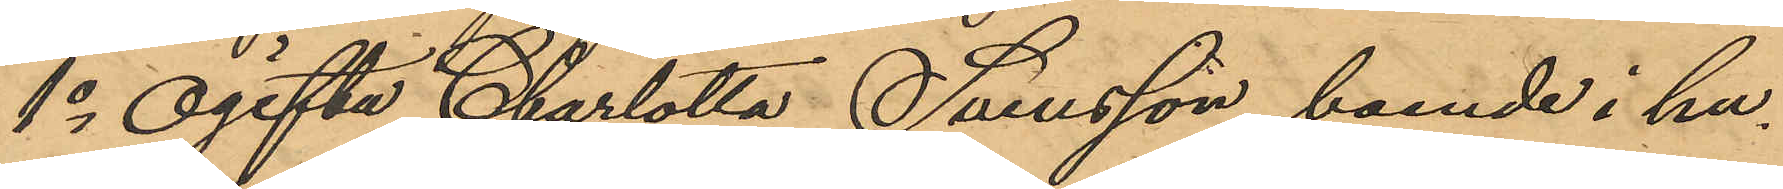1o Ogifta Charlotta Svensson, boende i hu¬
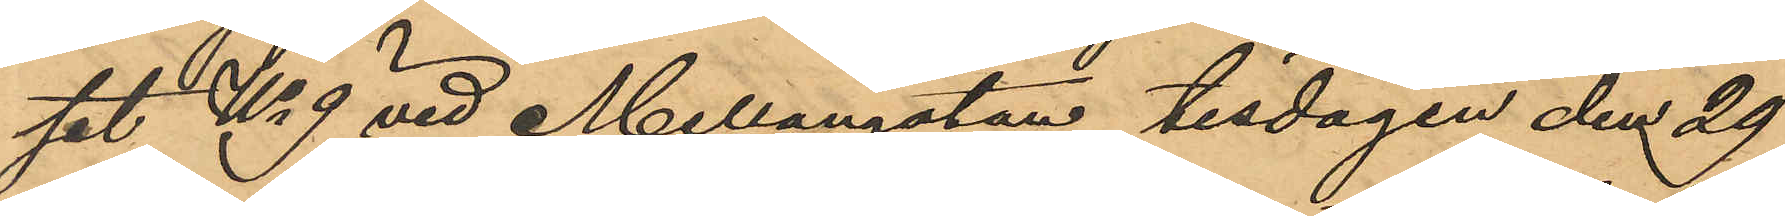set No 9 vid Mellangatan tisdagen den 29
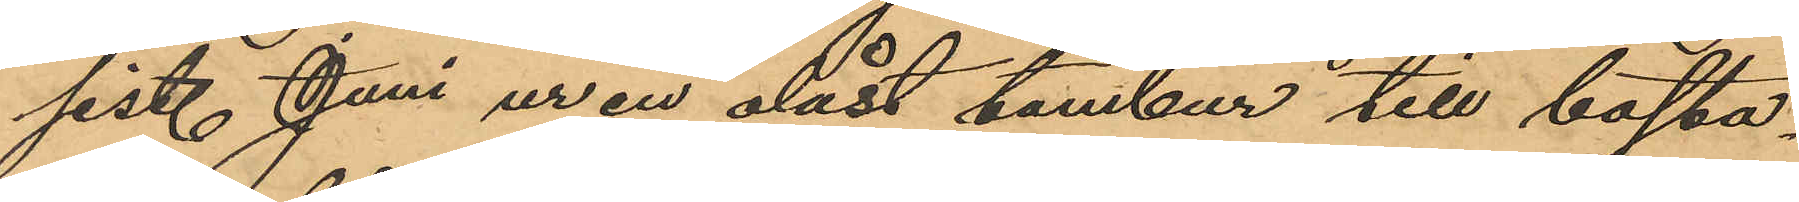sist. Juni ur en olåst tambur till bosta¬
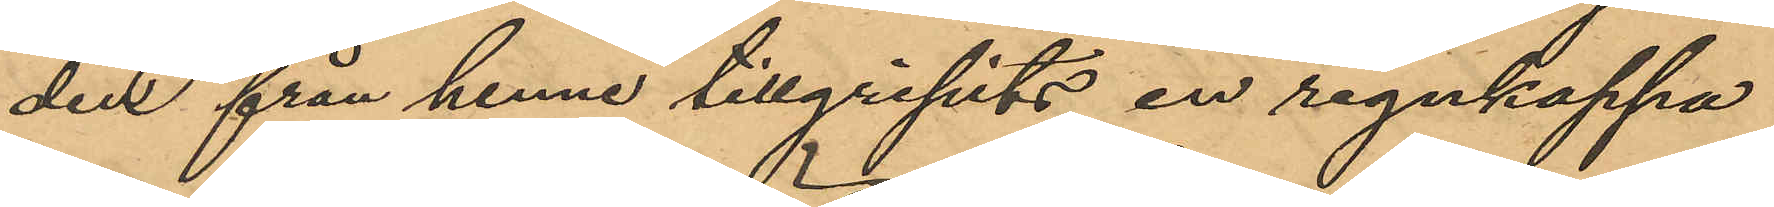den från henne tillgripits en regnkappa
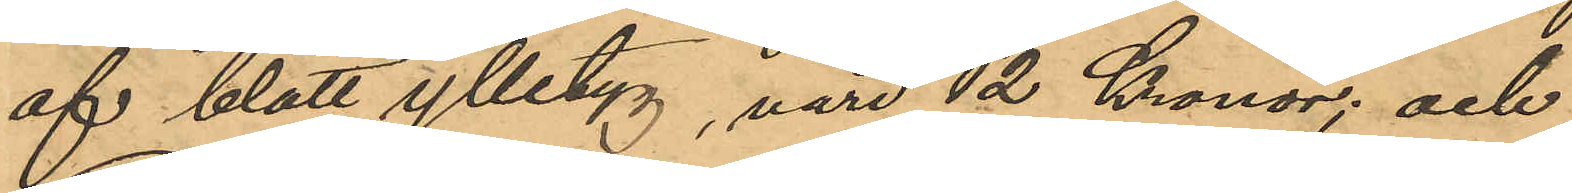af blått ylletyg, värd 12 Kronor; och
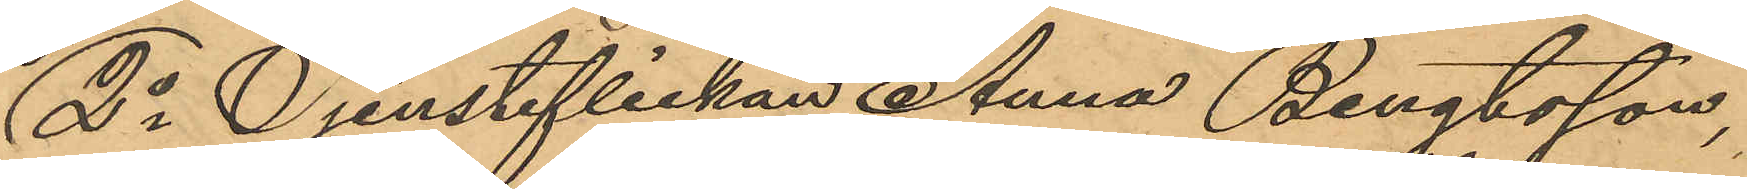2o Tjensteflickan Anna Bengtsson,
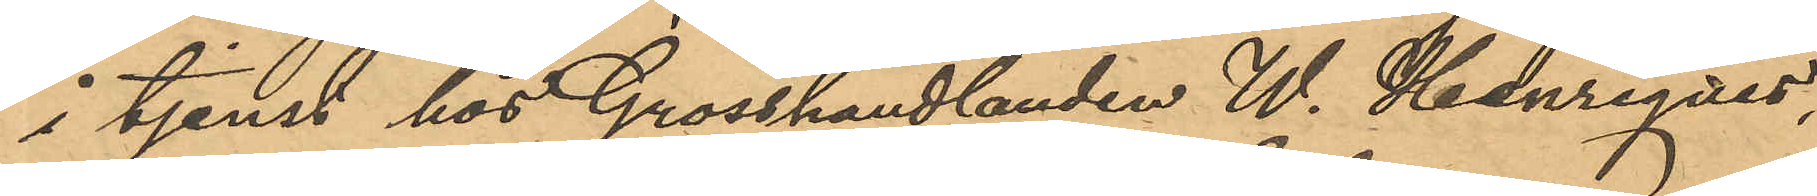i tjenst hos Grosshandlanden W. Henriques,
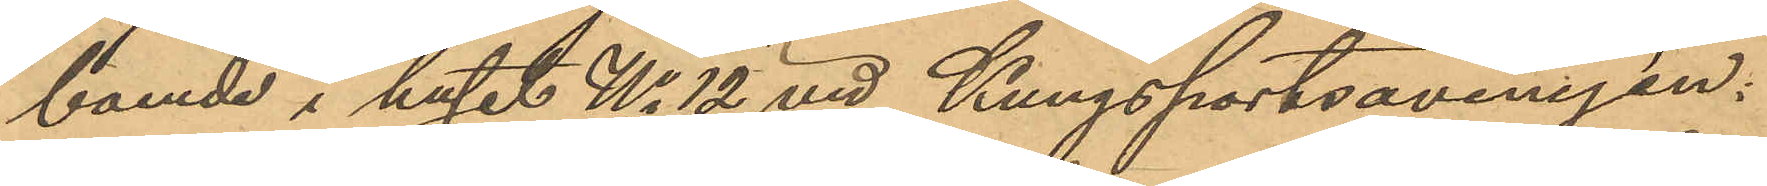boende i huset No 12 vid Kungsportsavenyen;
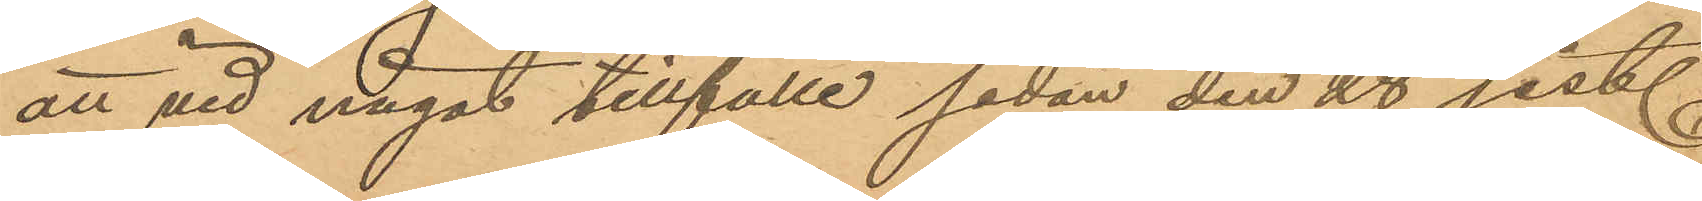att vid något tillfälle sedan den 28 sist.
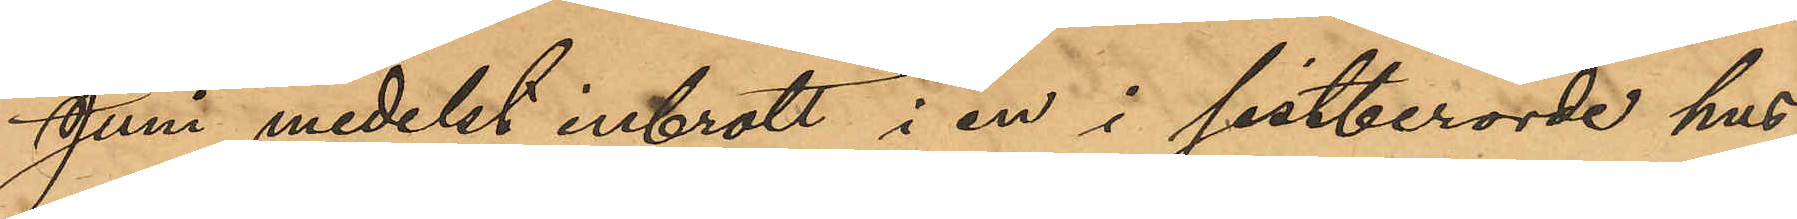Juni medelst inbrott i en i sistberörde hus
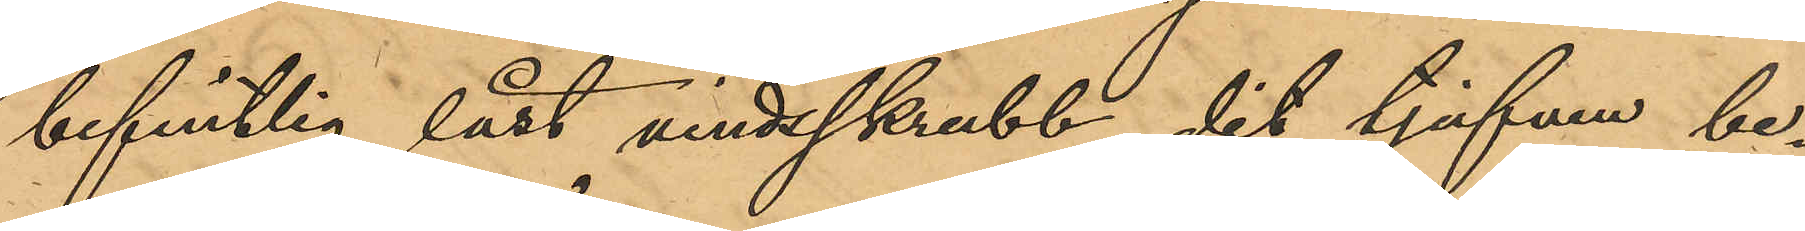befintlig låst vindsskrubb, dit tjufven be¬
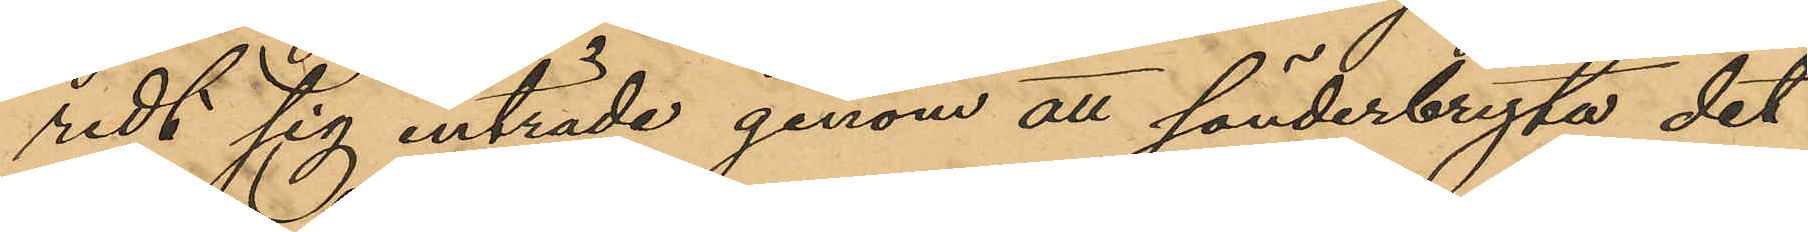redt sig inträde genom att sönderbryta det
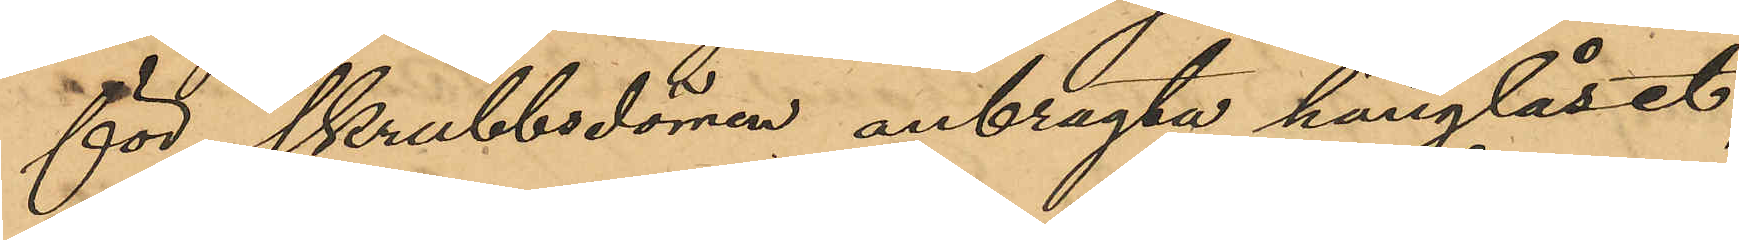för skrubbsdörren anbragta hänglåset,
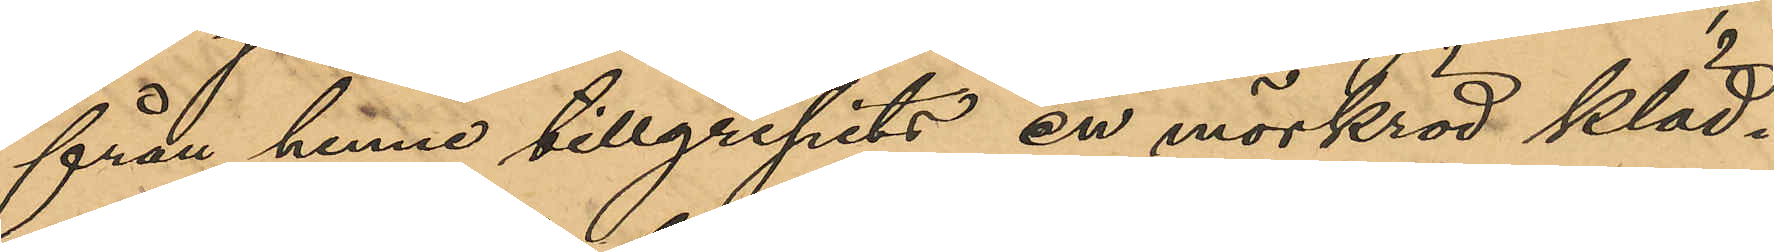från henne tillgripits en mörkröd kläd¬
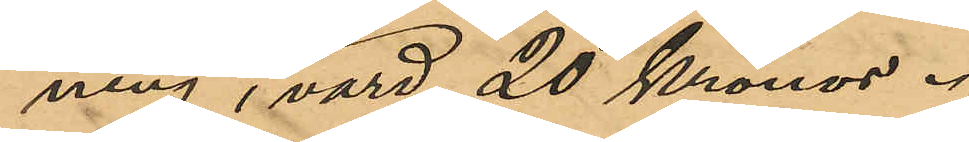ning, värd 20 Kronor.
